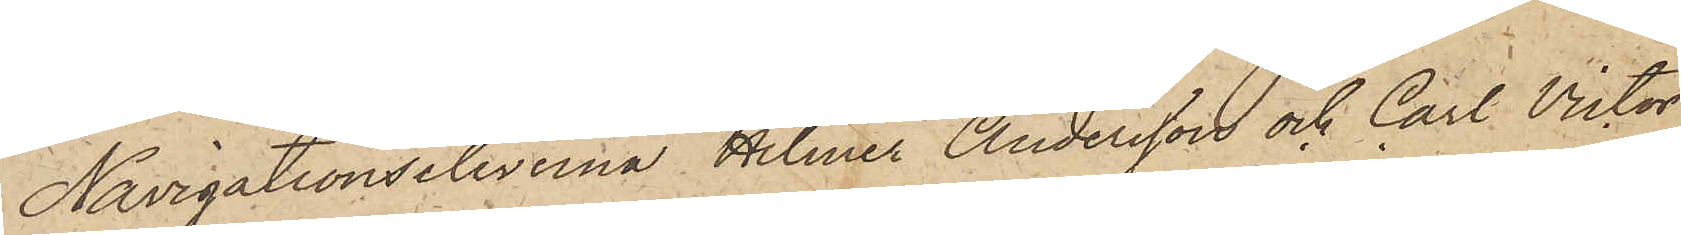Navigationseleverna Hilmer Andersson och Carl Victor
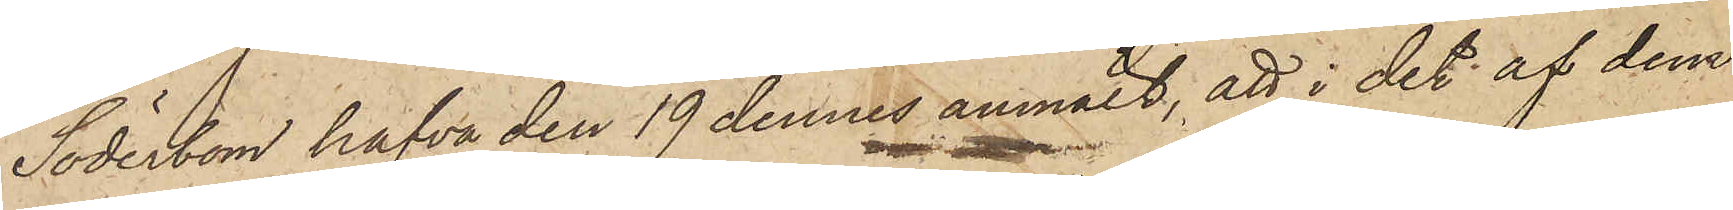Söderbom hafva den 19 dennes anmält, att i det af dem
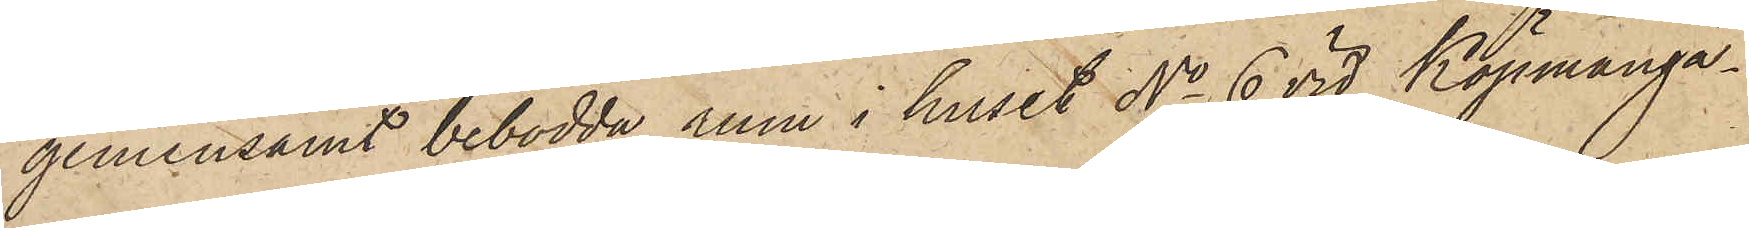gemensamt bebodda rum i huset No 6 vid Köpmanga¬
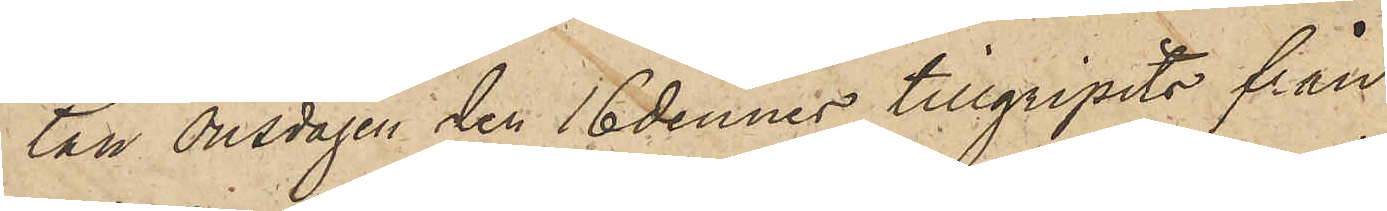tan onsdagen den 16 dennes tillgripits från
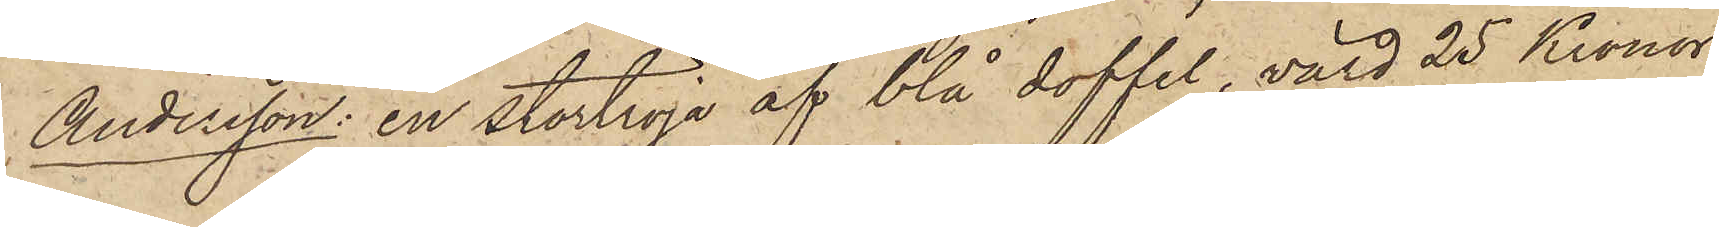Andersson: en stortröja af blå doffel, värd 25 Kronor,
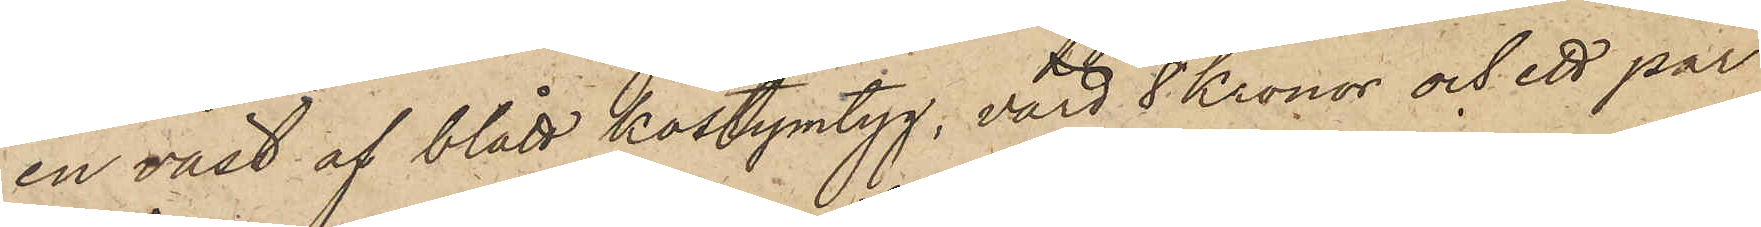en väst af blått kostymtyg, värd 8 Kronor och ett par
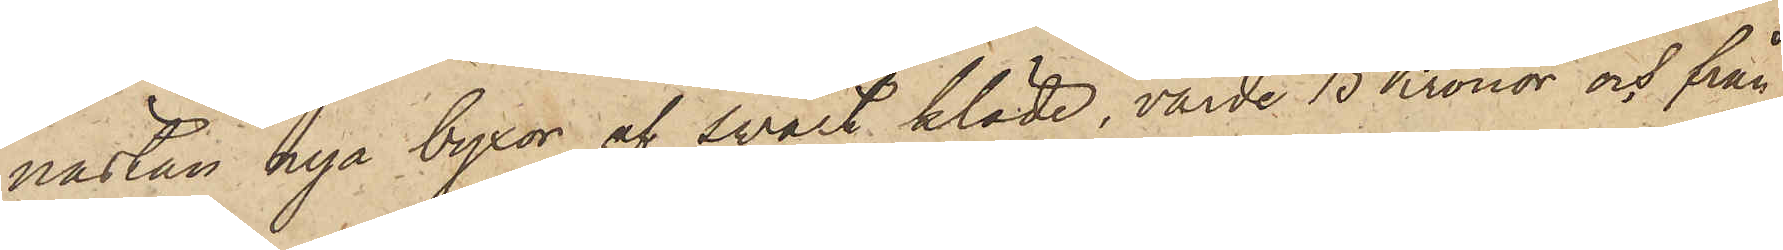nästan nya byxor af svart kläde, värde 15 Kronor och från
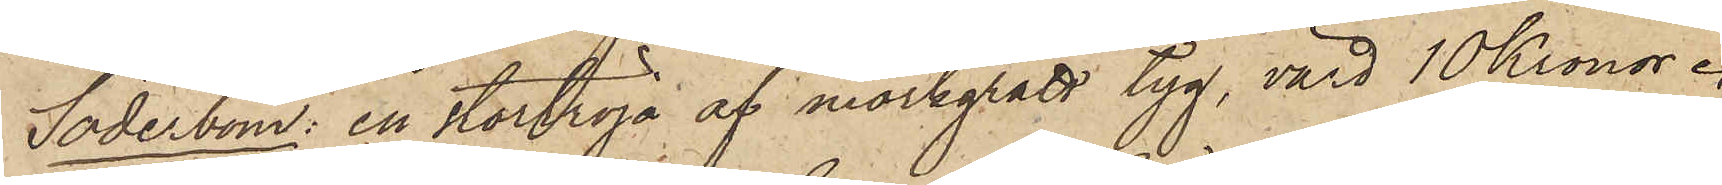Söderbom: en stortröja af mörkgrått tyg, värd 10 Kronor.
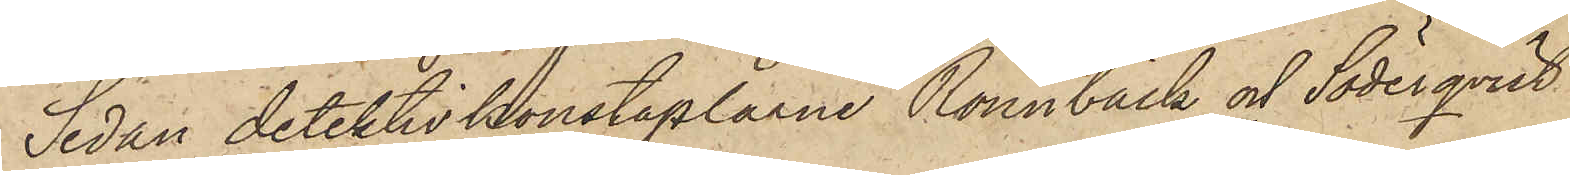Sedan detektivkonstaplarne Rönnbäck och Söderqvist
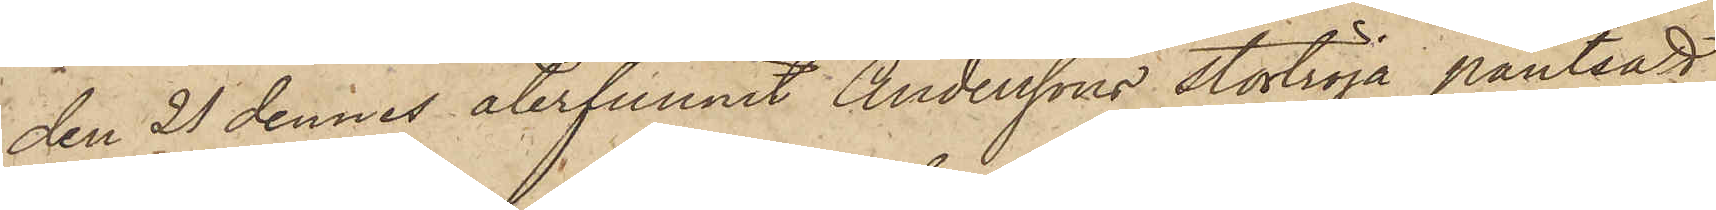den 21 dennes återfunnit Anderssons stortröja pantsatt
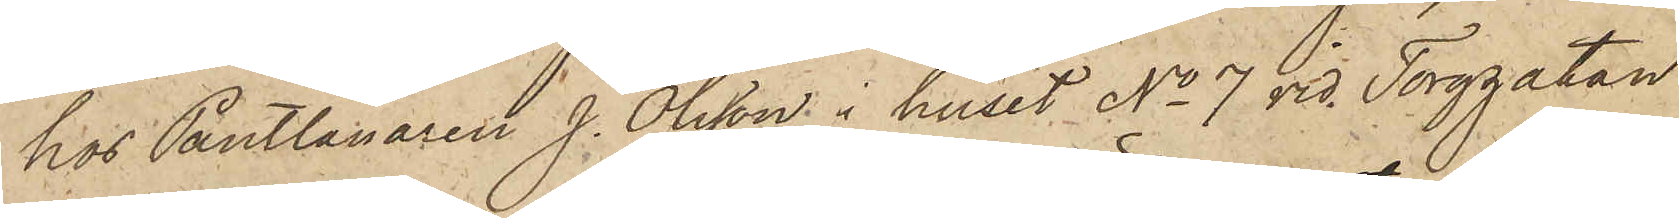hos Pantlånaren J. Olsson i huset No 7 vid Torggatan
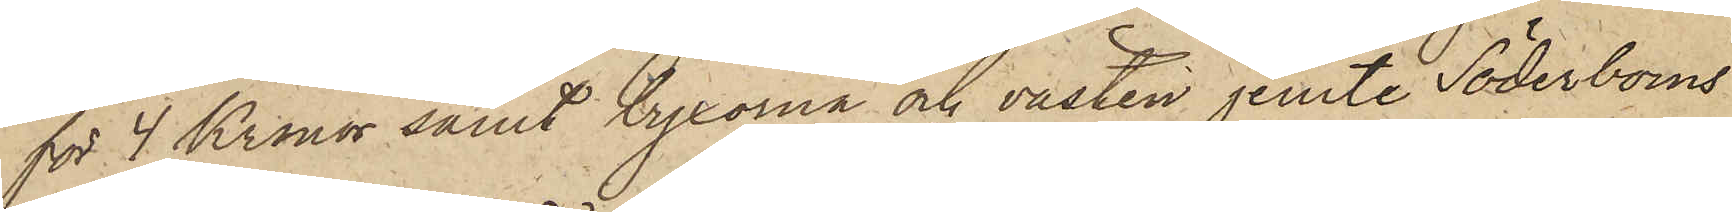för 4 Kronor samt byxorna och västen jemte Söderboms
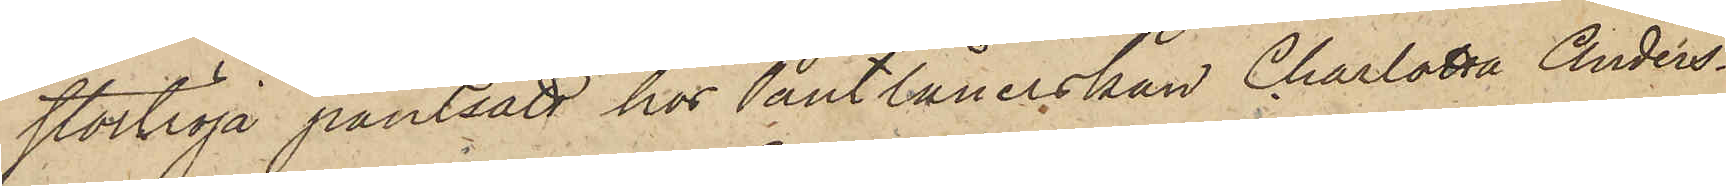stortröja pantsatt hos Pantlånerskan Charlotta Anders¬
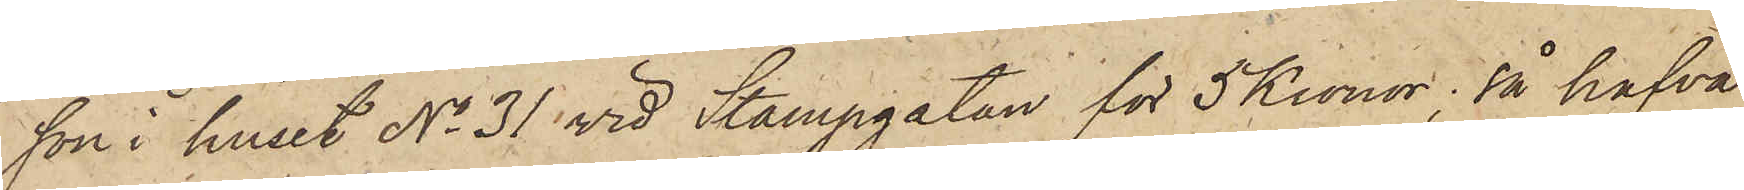son i huset No 31 vid Stampgatan för 5 Kronor, så hafva
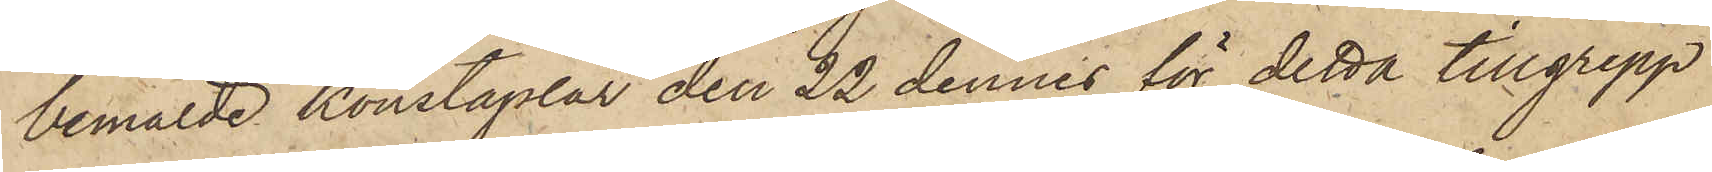bemälde konstaplar den 22 dennes för detta tillgrepp
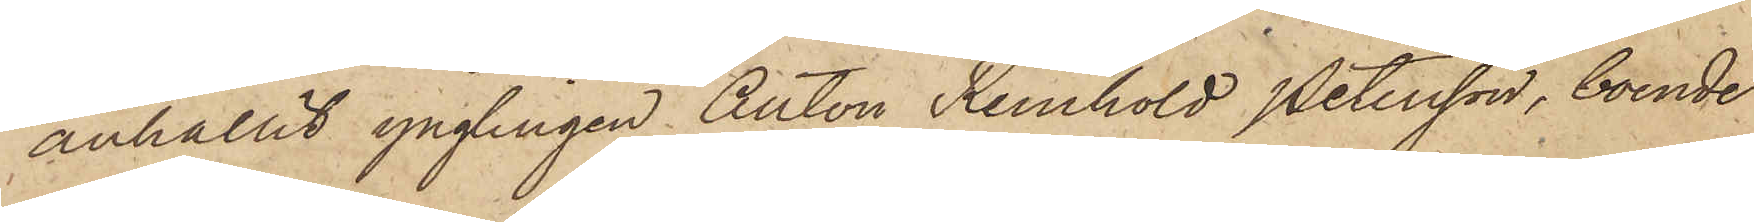anhållit ynglingen Anton Reinhold Petersson, boende
